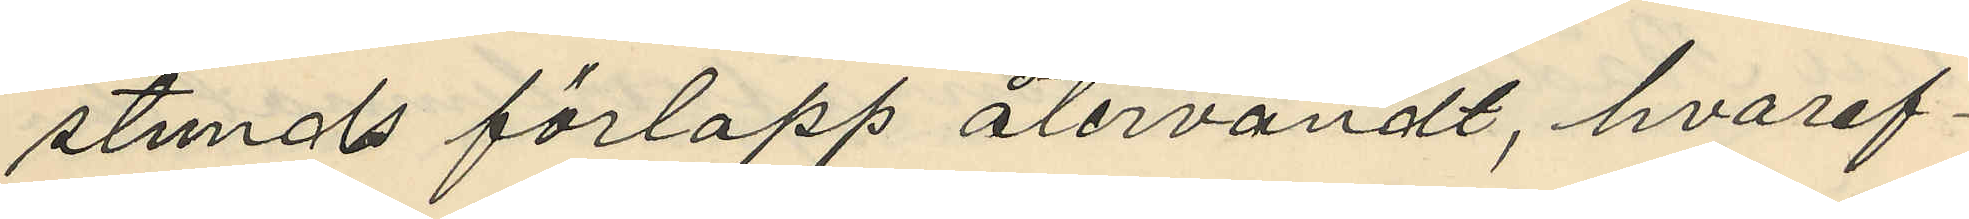stunds förlopp återvändt, hvaref¬
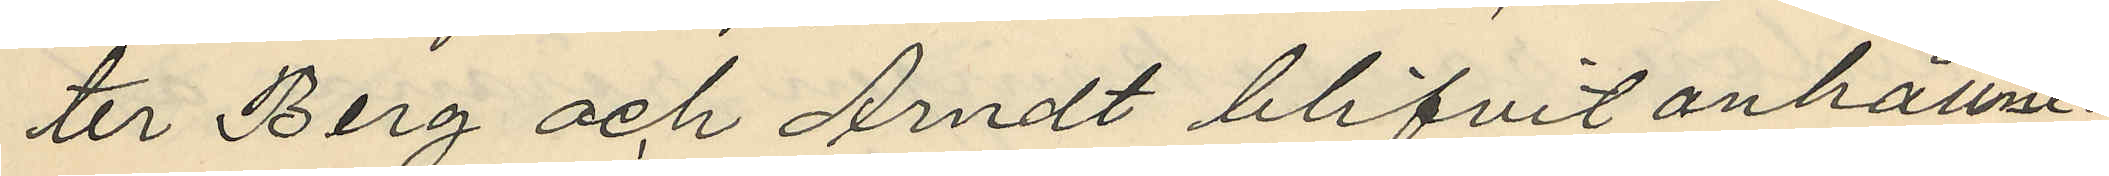ter Berg och Andt blifvit anhållne.
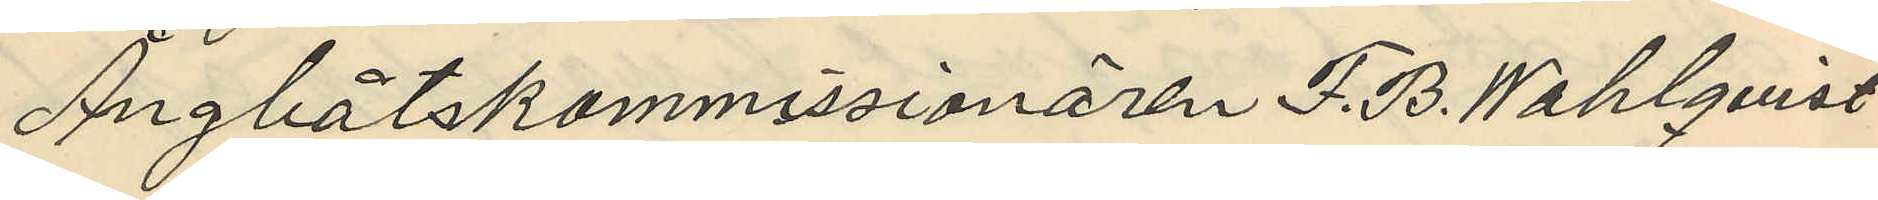Ångbåtskommissionären F. B. Wahlqvist
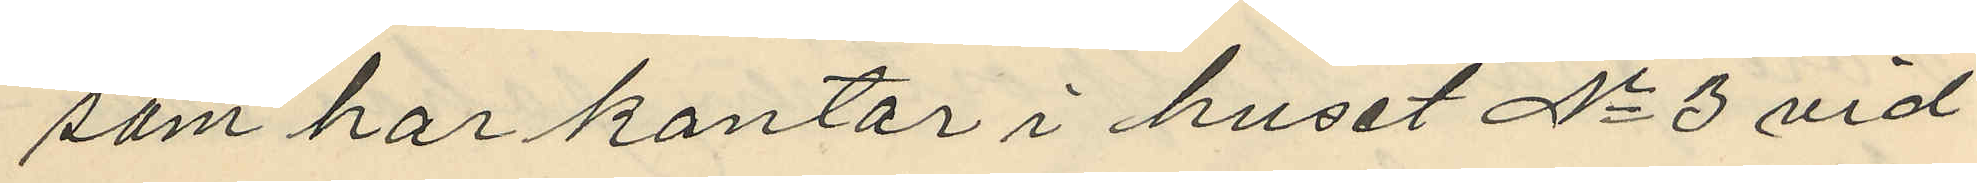som har kontor i huset No 3 vid
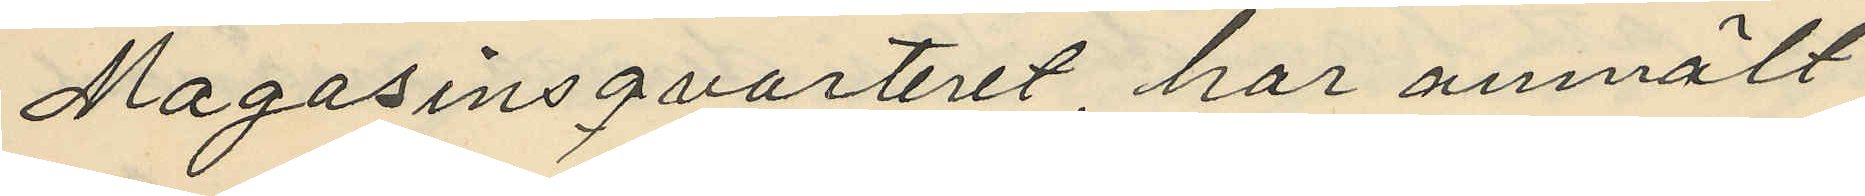Magasinsqvarteret har anmält
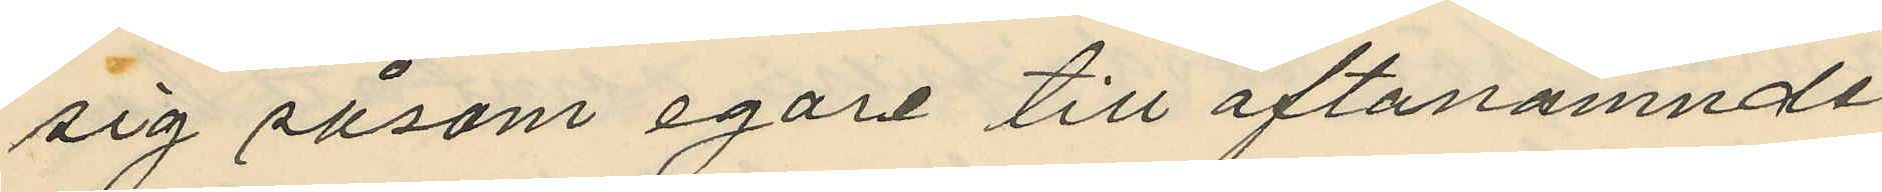sig såsom egare till oftanämnde
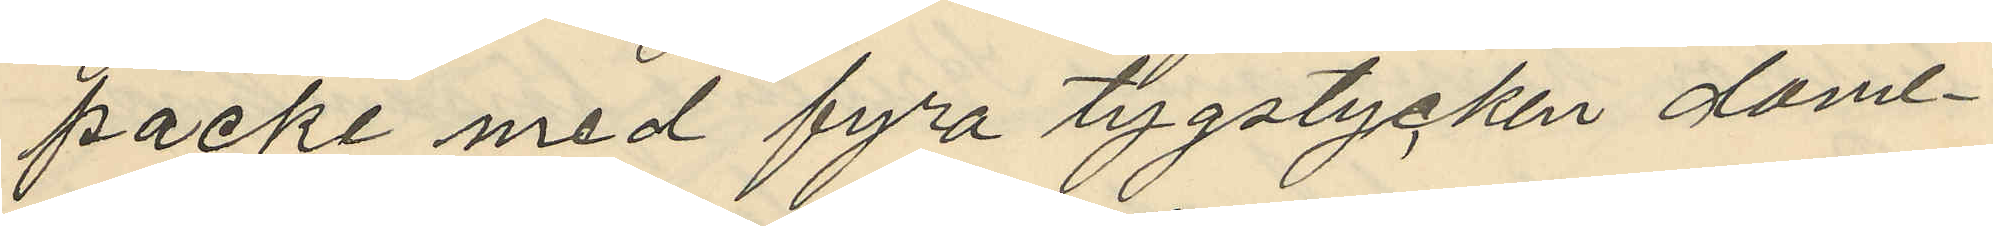packe med fyra tygstycken dami¬
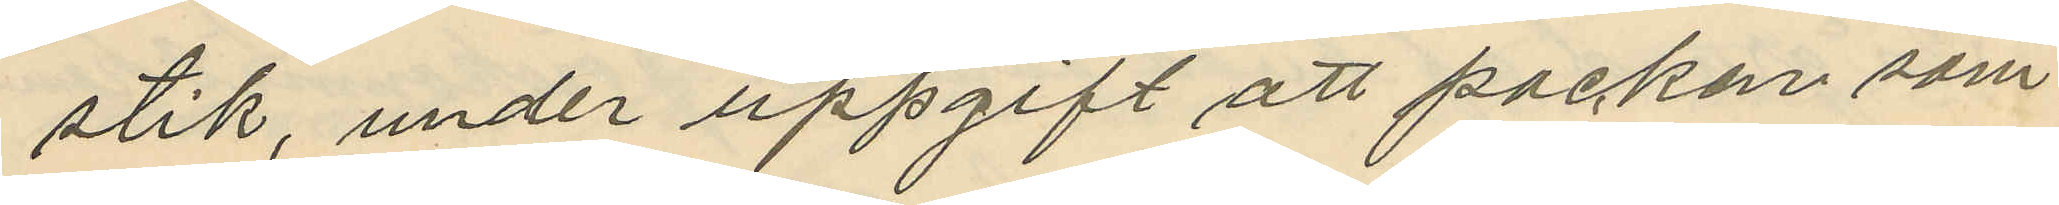stik, under uppgift att packen som
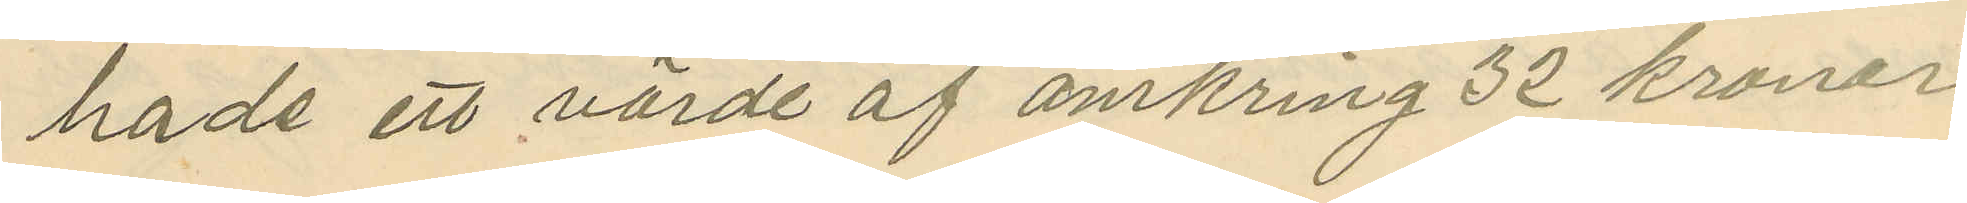hade ett värde af omkring 32 kronor
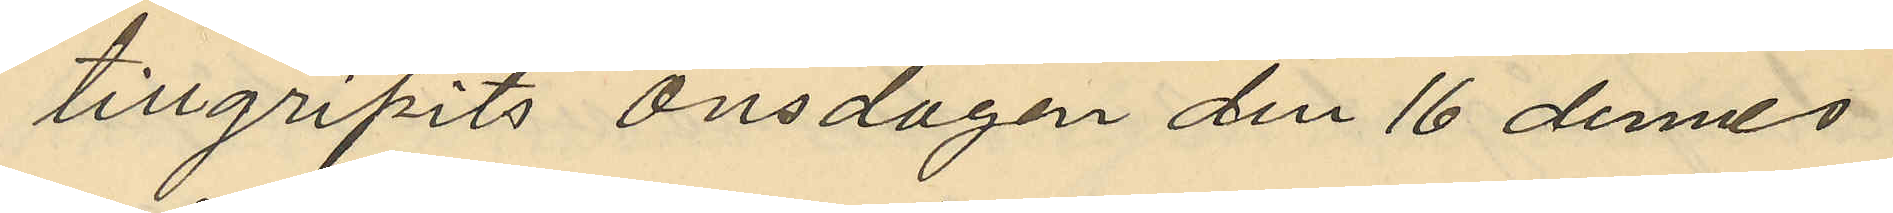tillgripits Onsdagen den 16 dennes
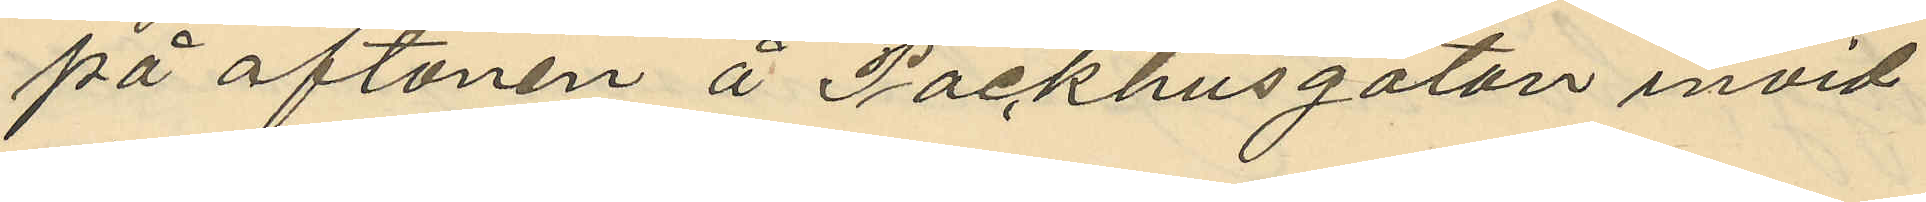på aftonen å Packhusgatan invid
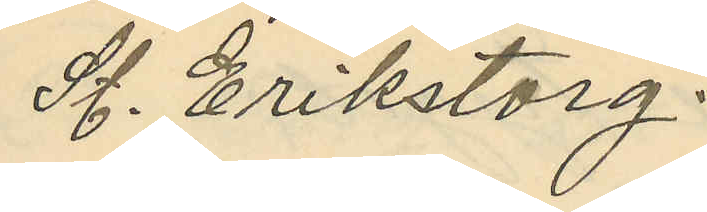St. Erikstorg.
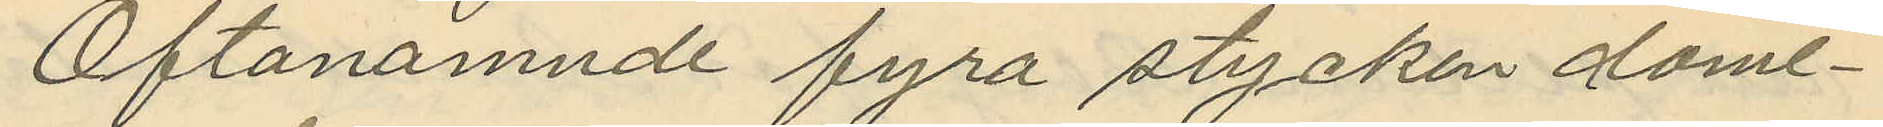Oftanämnde fyra stycken dami¬
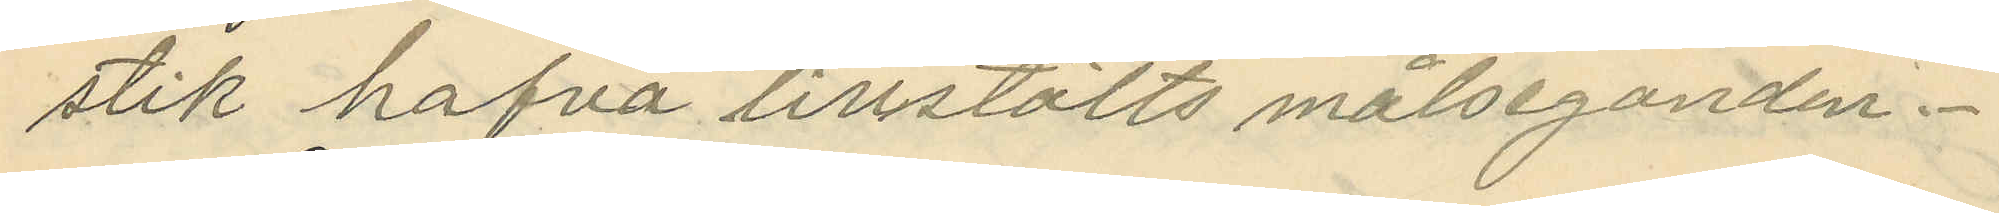stik hafva tillstälts målseganden.
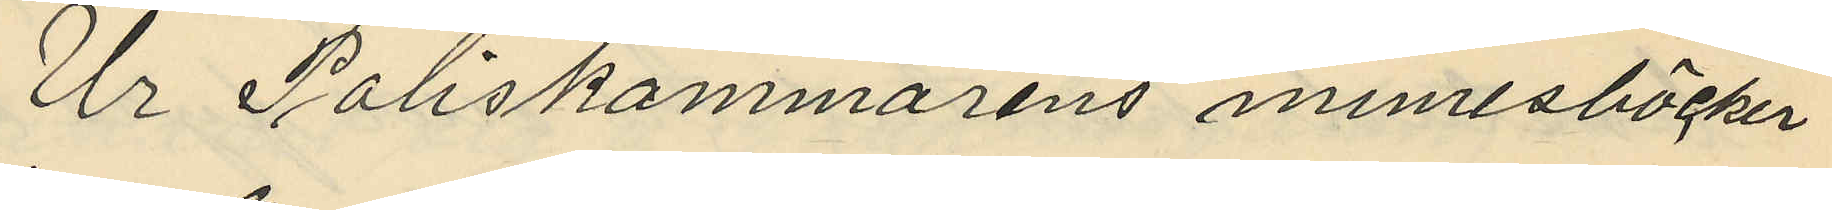Ur Poliskammarens minnesböcker
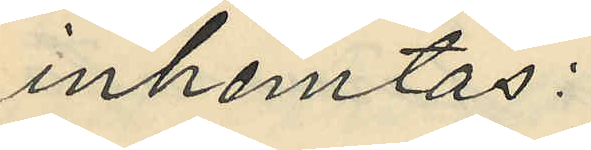inhemtas:
